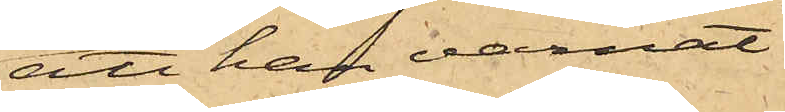att han varnat
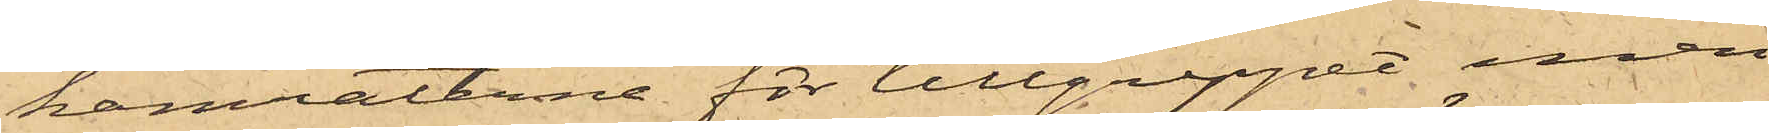kamraterne för tillgreppet men
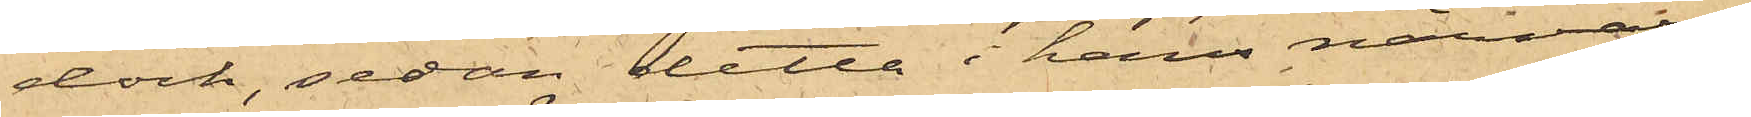dock, sedan detta i hans närvaro
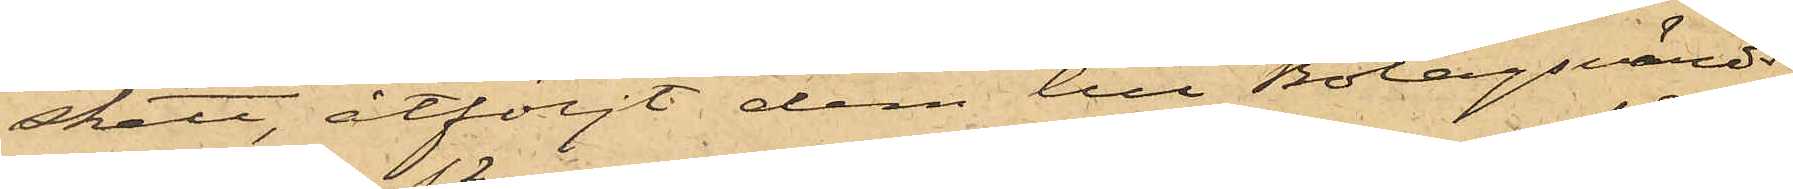skett, åtföljt dem till Bolagsvärds¬
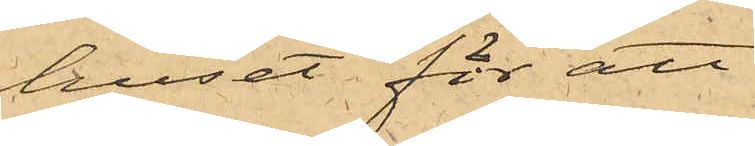huset för att
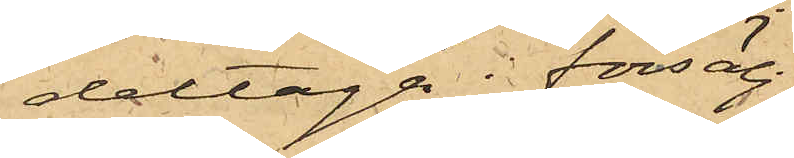deltaga i försälj¬
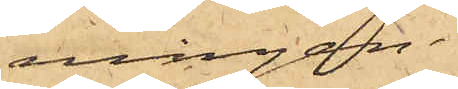ningen.
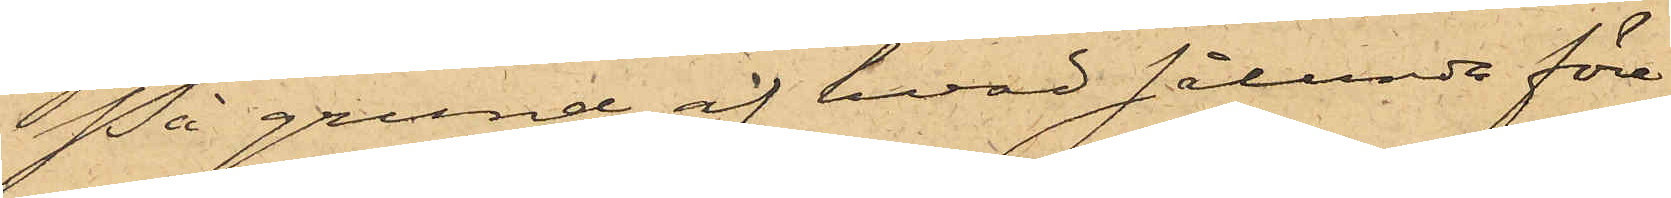På grund af hvad sålunda före¬
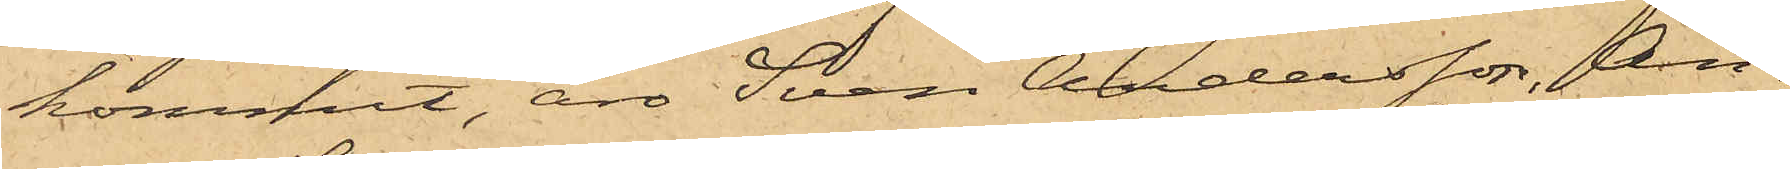kommit, äro Sven Andersson, An¬
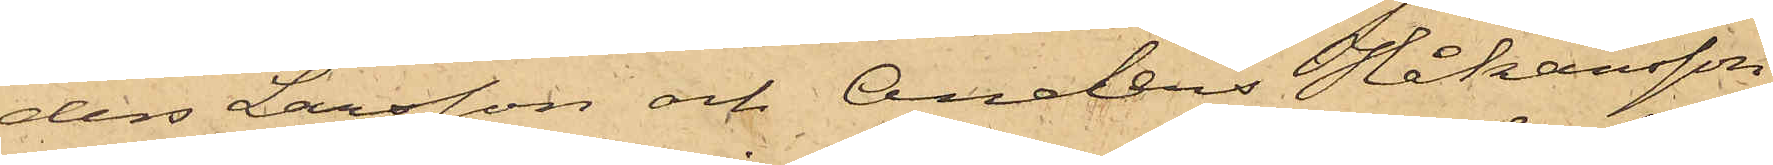ders Larsson och Anders Johansson
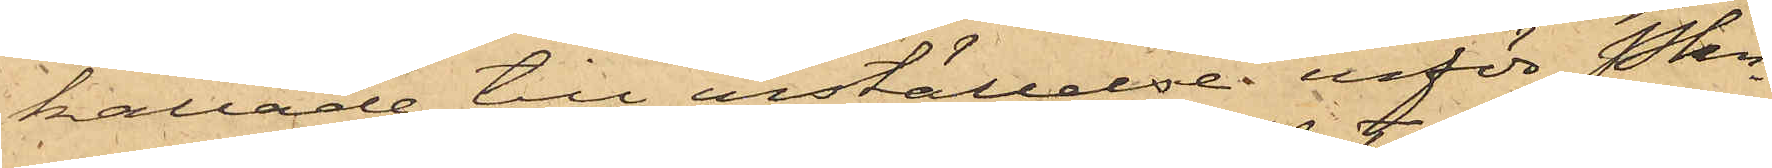kallade till inställelse inför Pkn
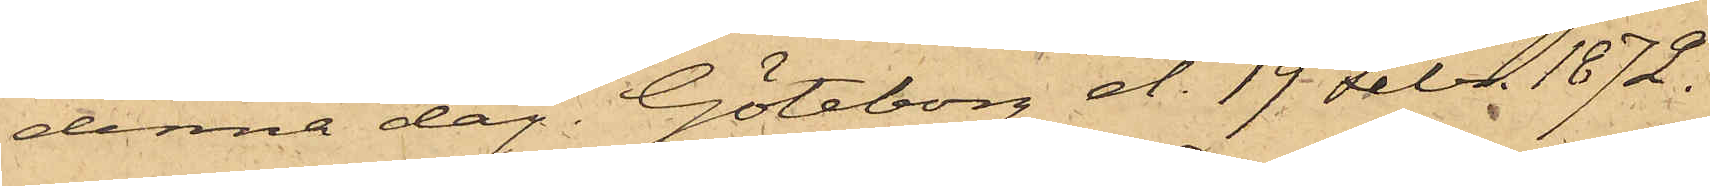denna dag. Göteborg d. 19 Febr. 1872.
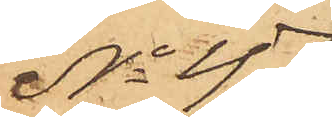No 47
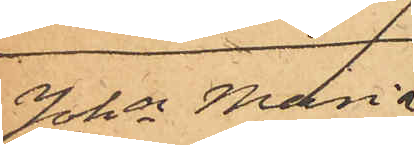Joha Maria
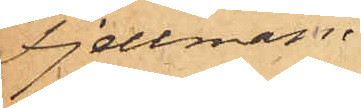Fjellman.
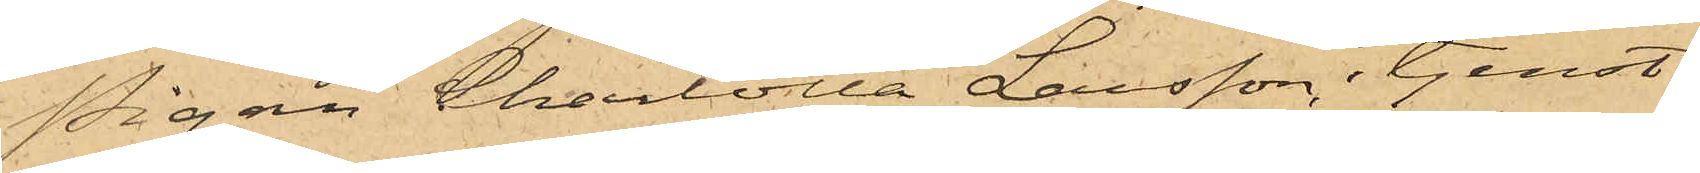Pigan Charlotta Larsson, i tjenst
